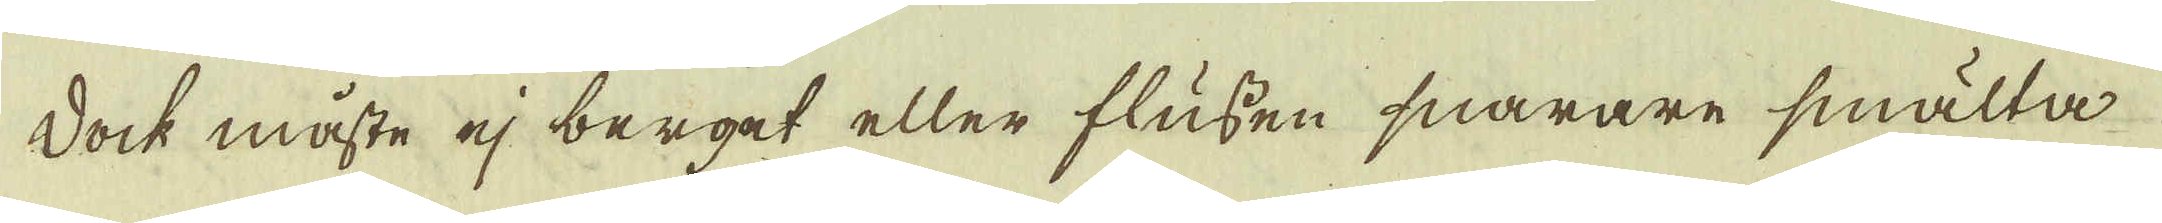dock måste ej berget eller flussen snarare smälta
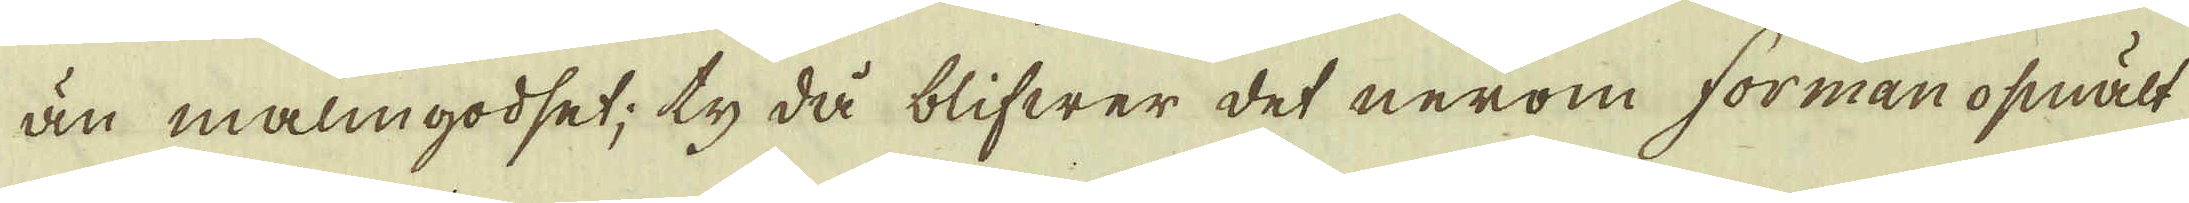än malmgodset; ty då blifwer det nerom forman opsmält
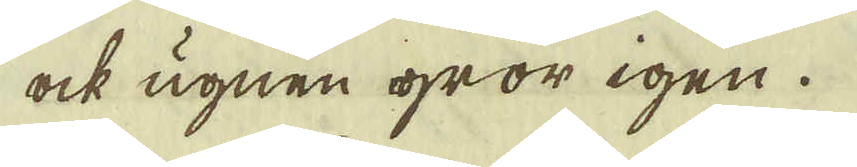ock ugnen gror igen.
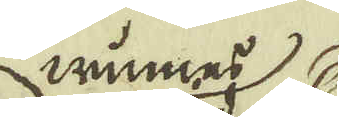winnes
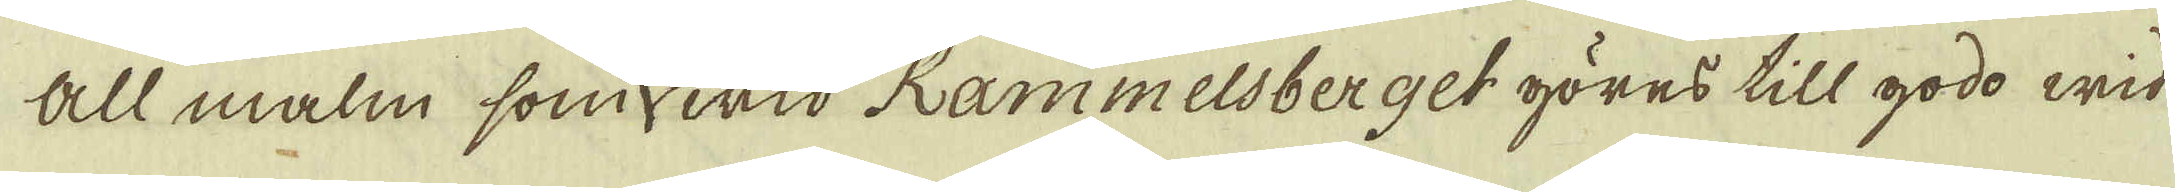All malm som wid Rammelsberget göres till godo wid
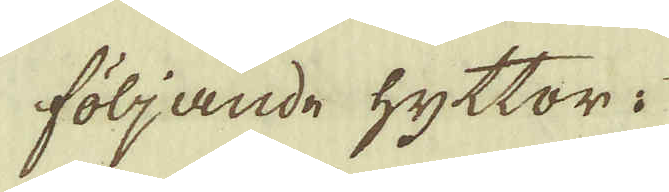följande hyttor:
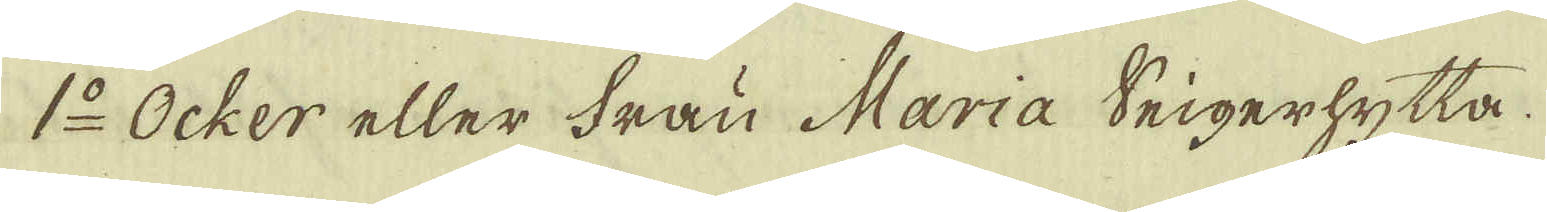1:o Ocker eller Frau Maria Seigerhytta.
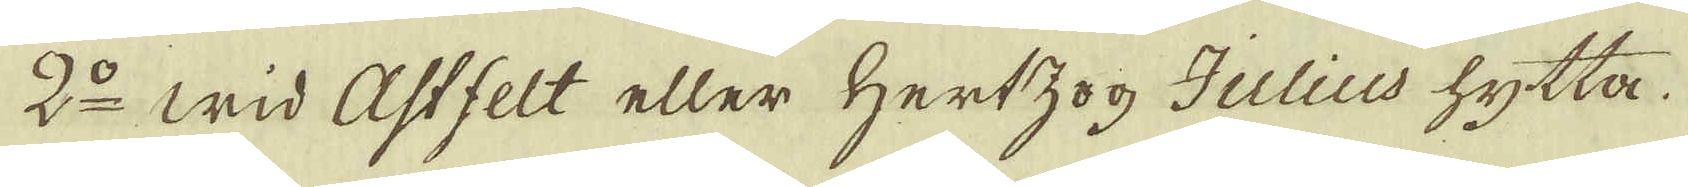2:o wid Astfelt eller Hertzog Julius hytta.
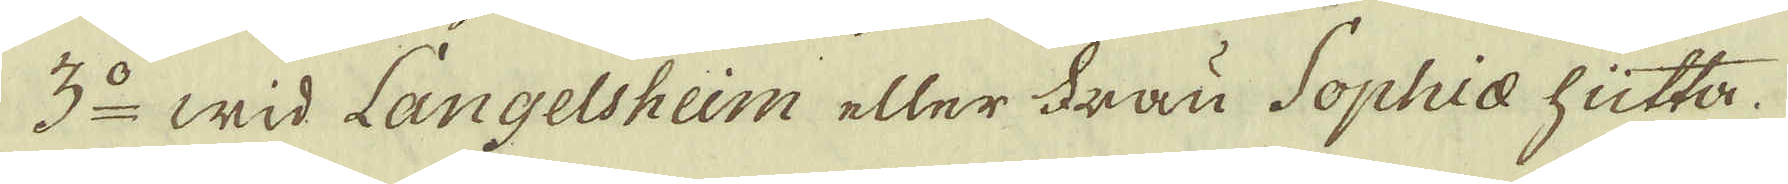3:o wid Langelsheim eller Frau Sophiae hütta.
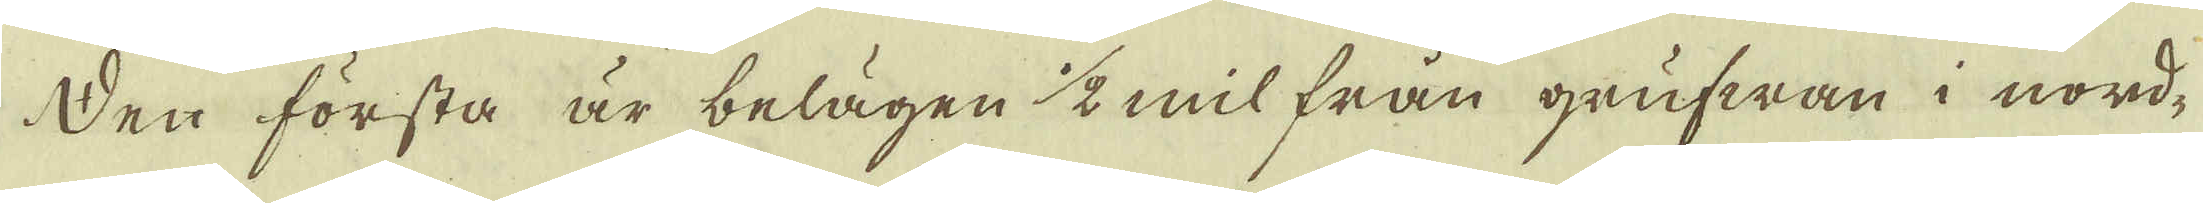Den första är belägen 1/2 mil från grufwan i nord-
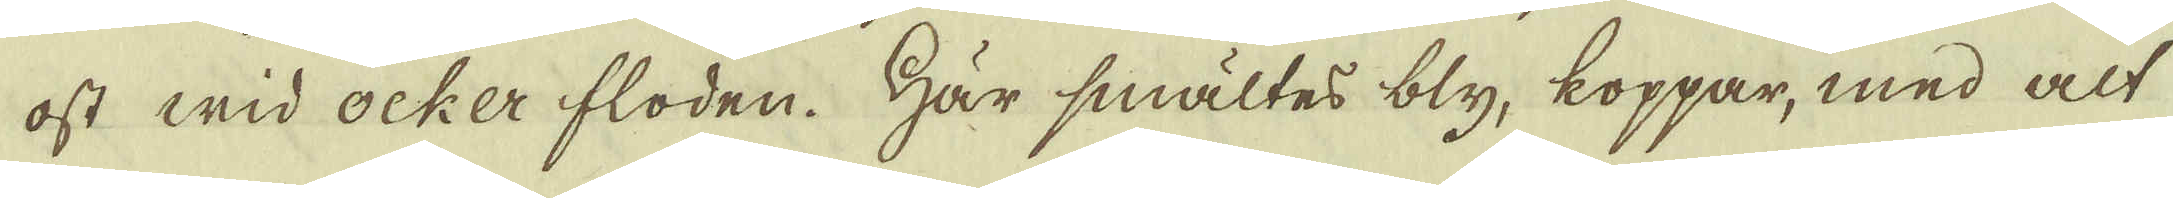ost wid ocker floden. Här smältes bly, koppar, med alt
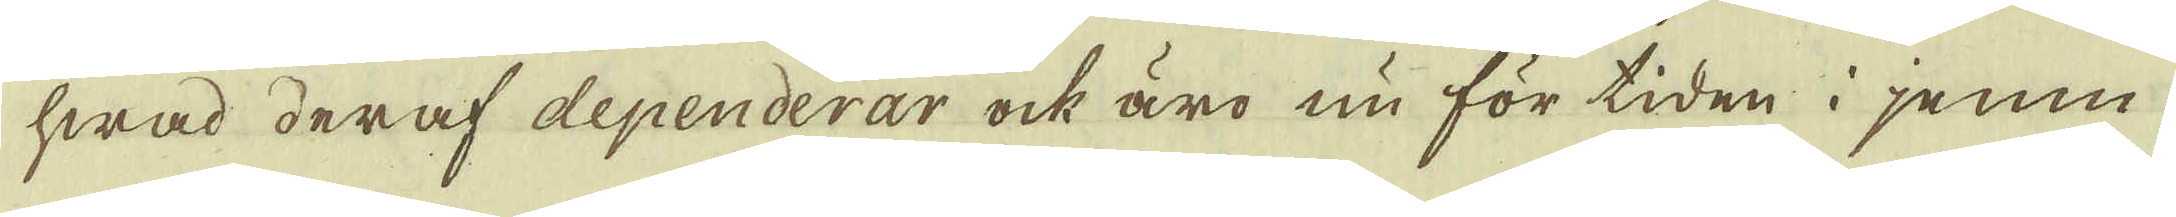hwad deraf dependerar ock äro nu för tiden i jemn
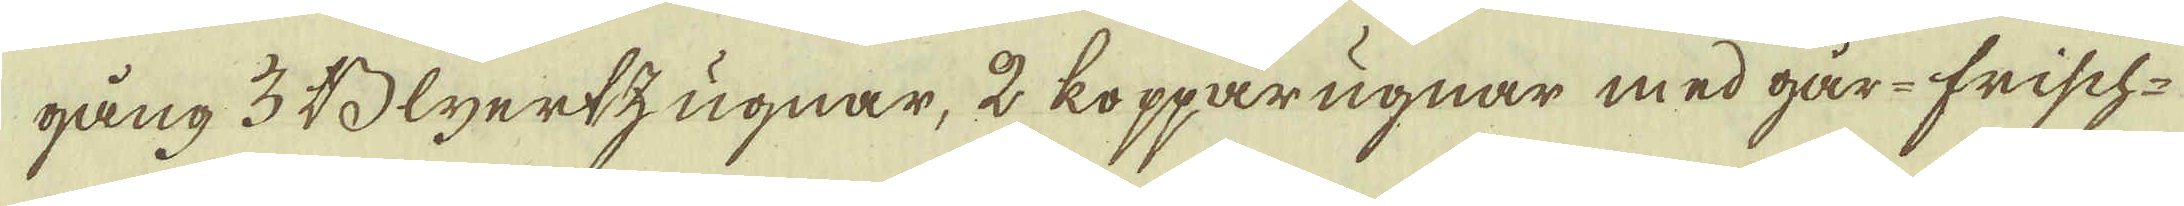gång 3 Blyertzugnar, 2 kopparugnar med går-frisch
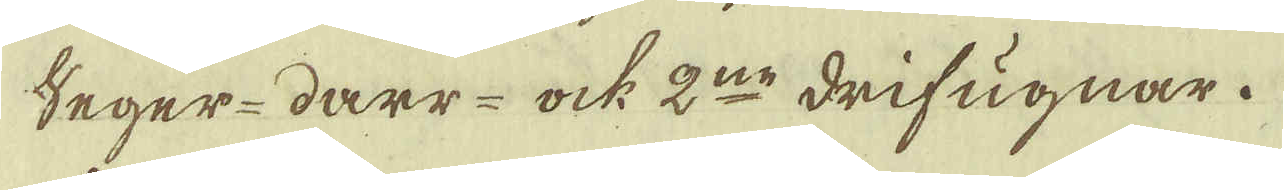Seger- darr- ock 2:ne drifugnar.
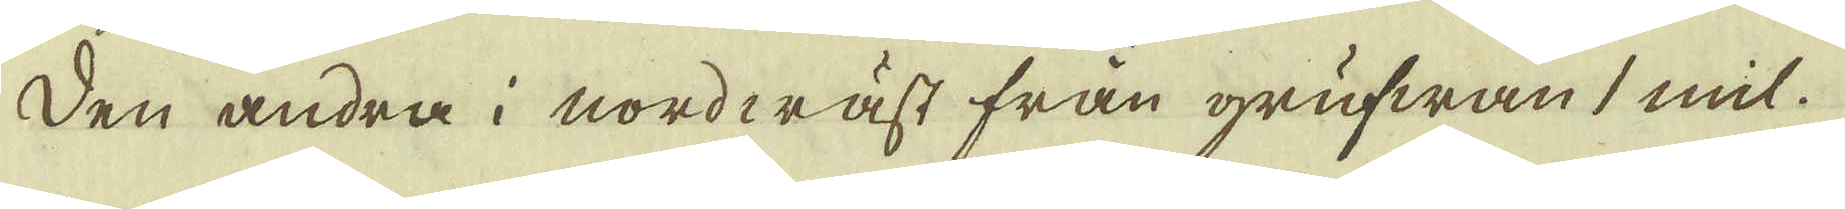Den andra i nordwäst från grufwan 1 mil.
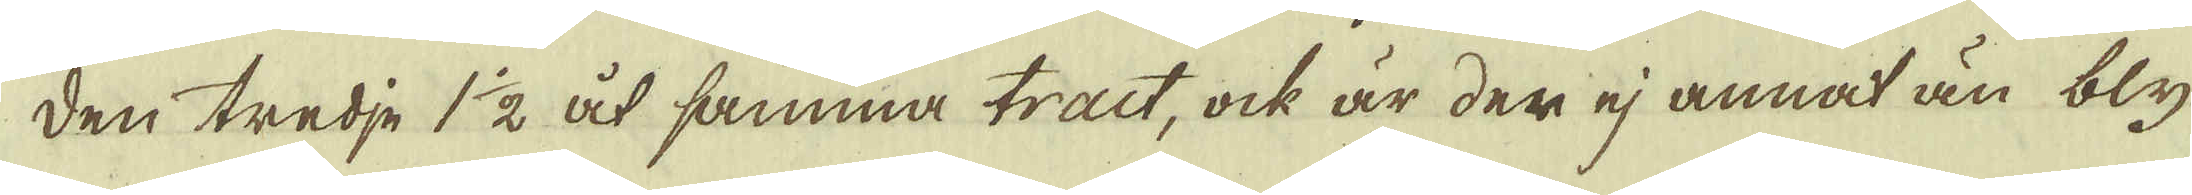Den tredje 1 1/2 åt samma tract, ock är der ej annat än bly
